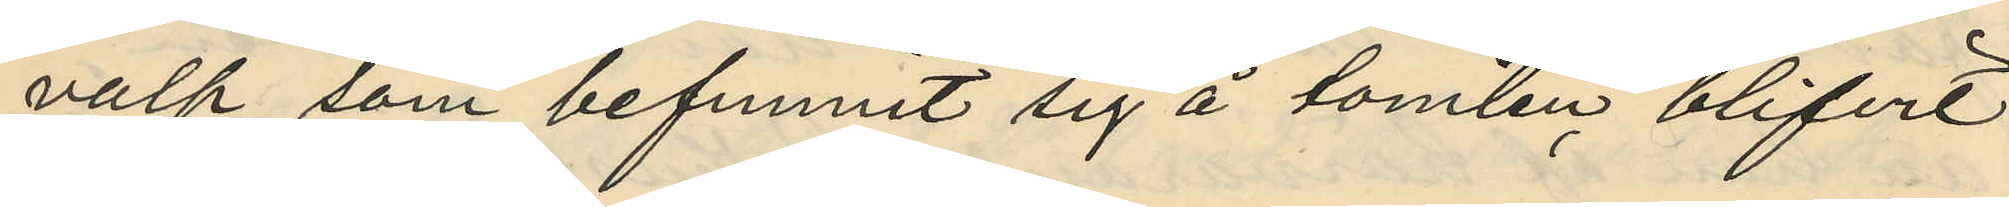valp som befunnit sig å tomten blifvit
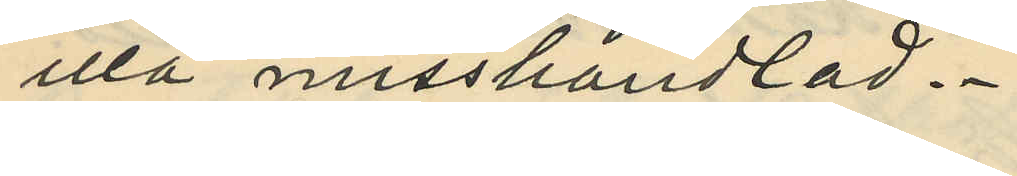illa misshandlad.
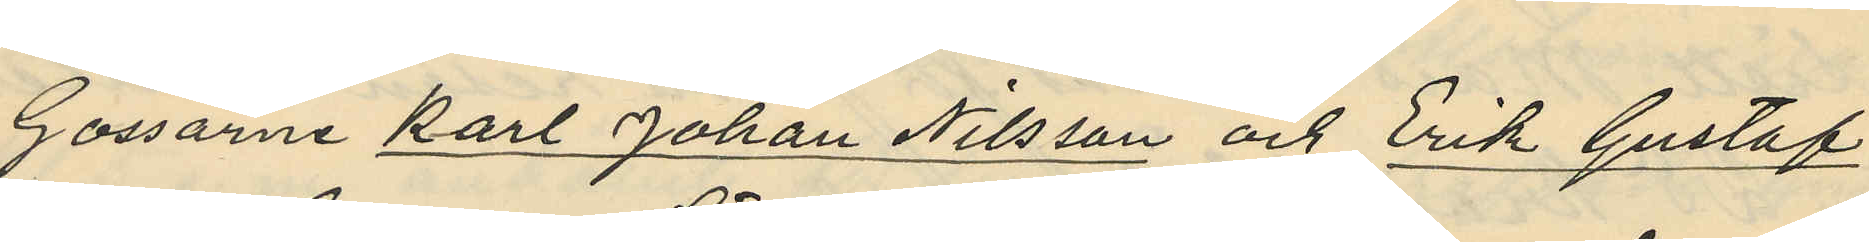Gossarne Karl Johan Nilsson och Erik Gustaf
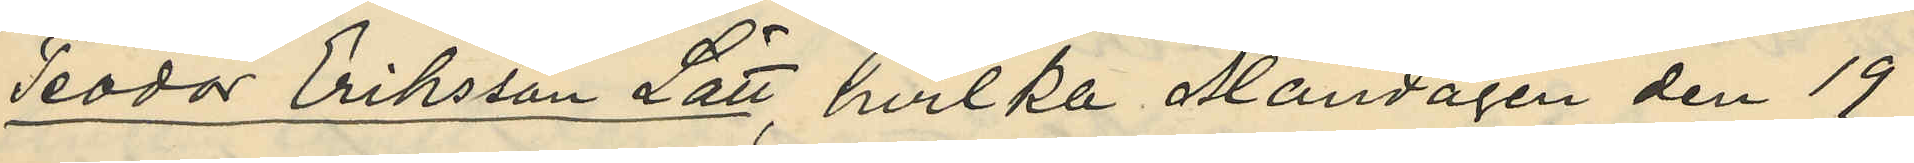Teodor Eriksson Lätt, hvilka Måndagen den 19
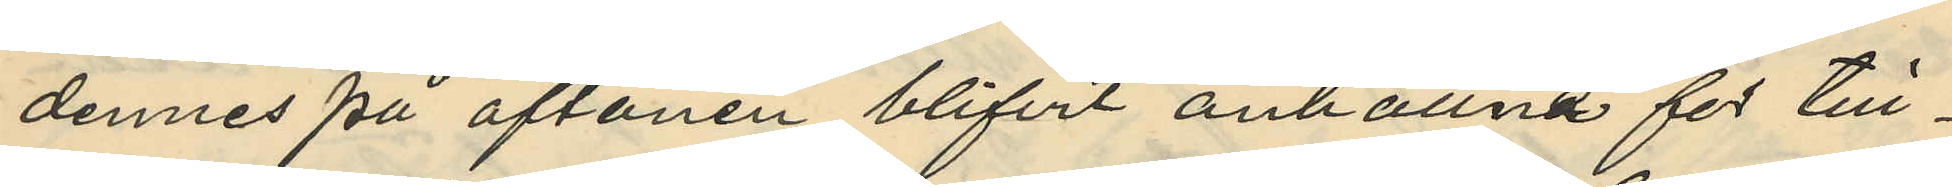dennes på aftonen blifvit anhållna för till¬
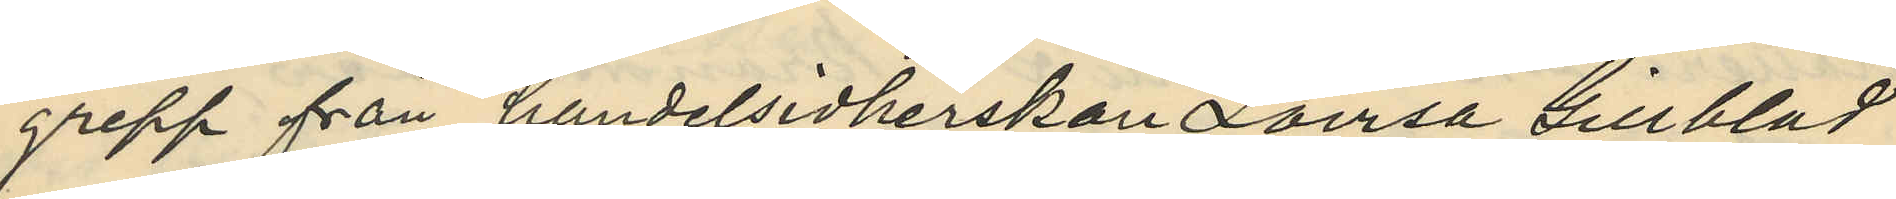grepp från handelsidkerskan Lovisa Gillblad
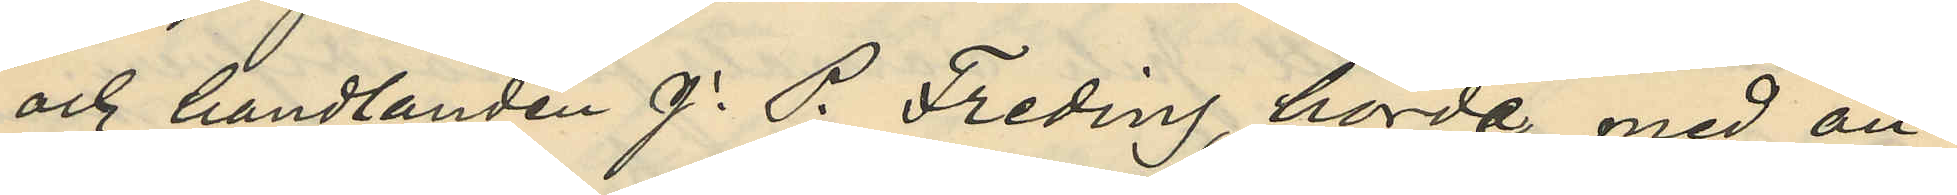och handlanden J. P. Freding, hörde med an¬
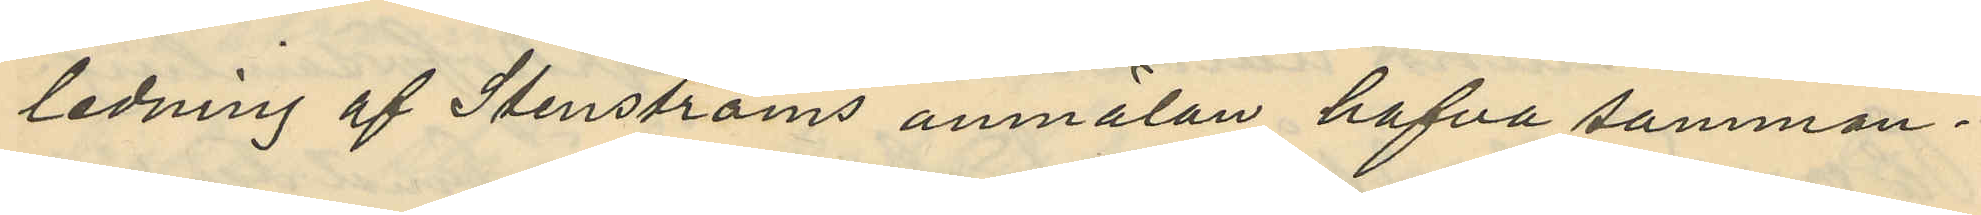ledning af Stenströms anmälan hafva samman¬
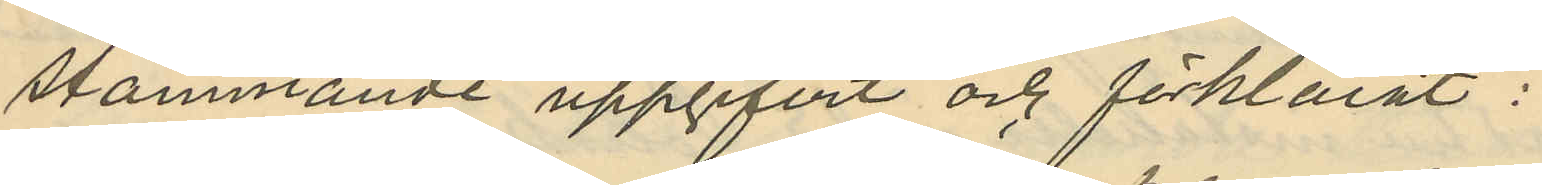stämmande uppgifvit och förklarat:
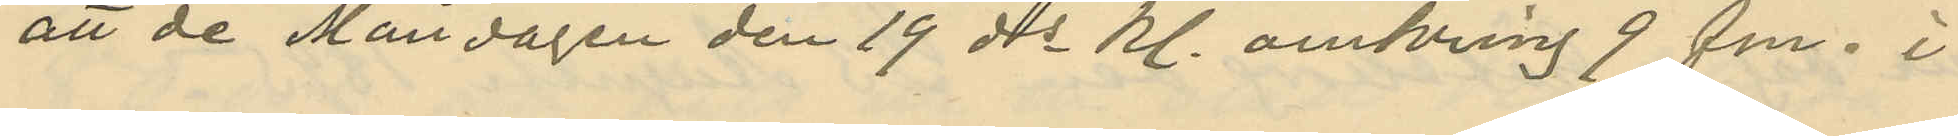att de Måndagen den 19 ds kl. omkring 9 fm. i
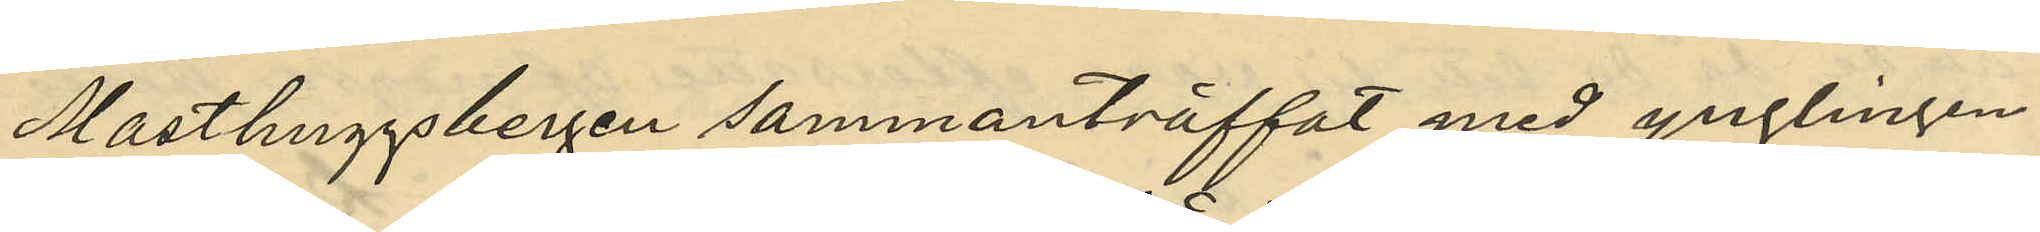Masthuggsbergen sammanträffat med ynglingen
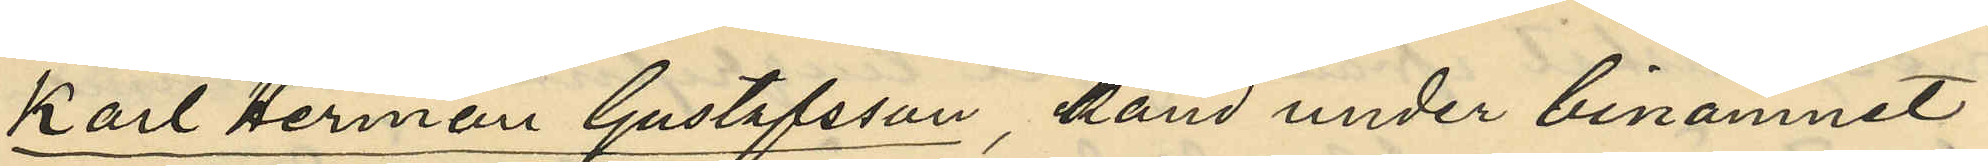Karl Herman Gustafsson känd under binamnet
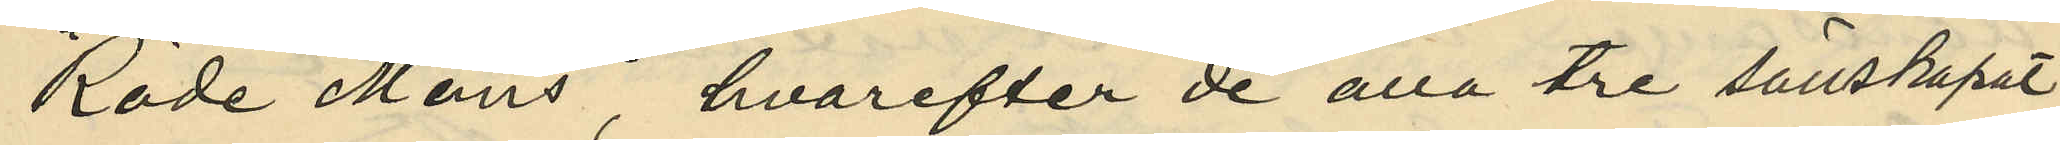"Röde Måns", hvarefter de alla tre sällskapat
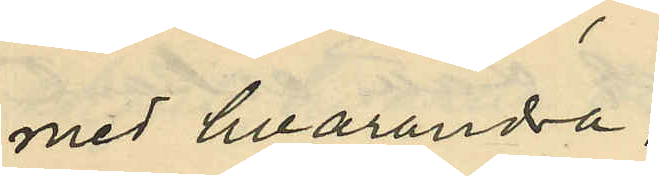med hvarandra;
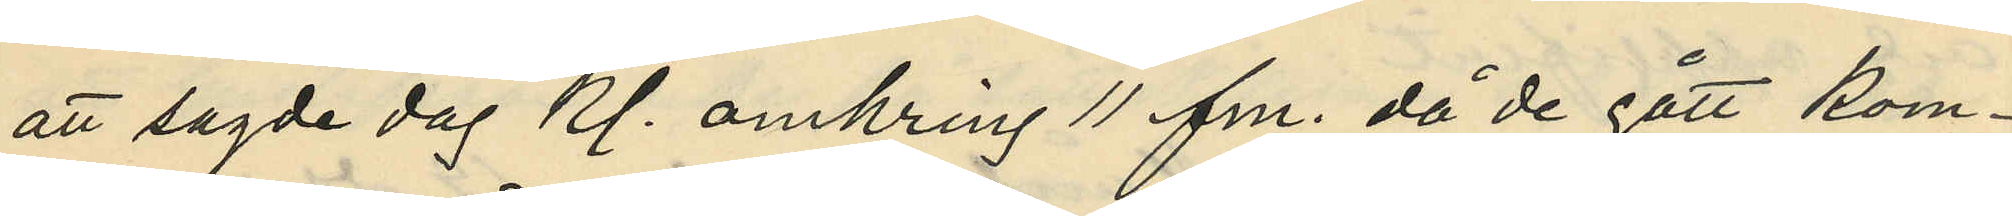att sagde dag kl. omkring 11 fm. då de gått kom¬
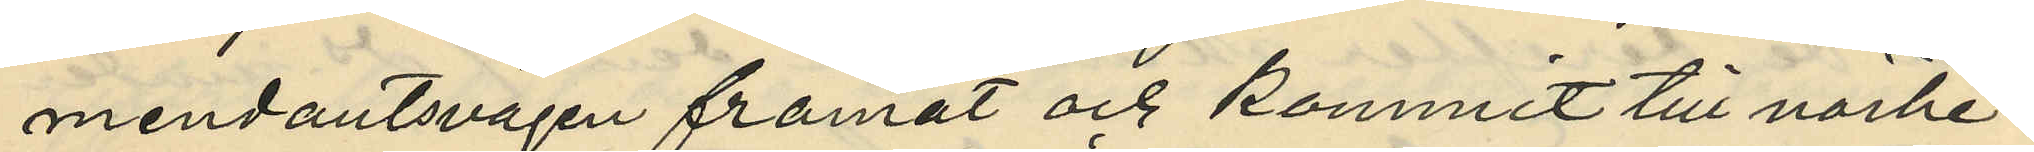mendantsvägen framåt och kommit till närhe¬
